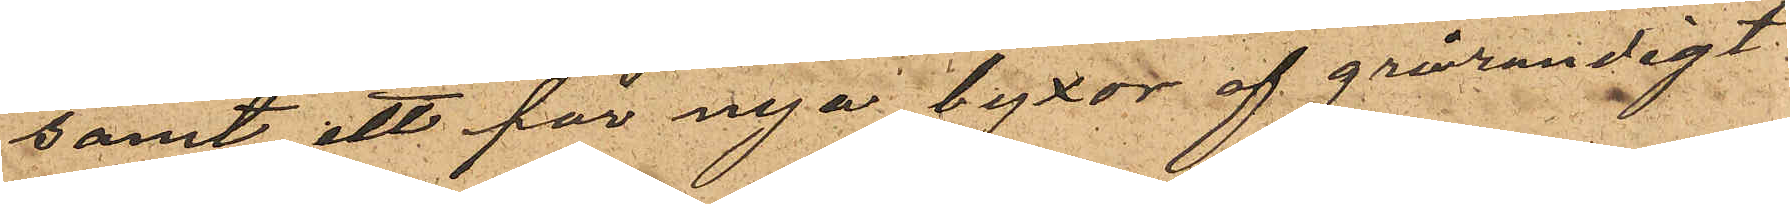samt ett par nya byxor af grårandigt
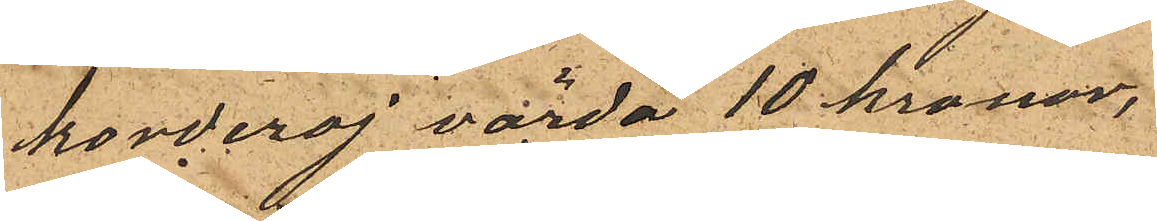korderoj värda 10 kronor,
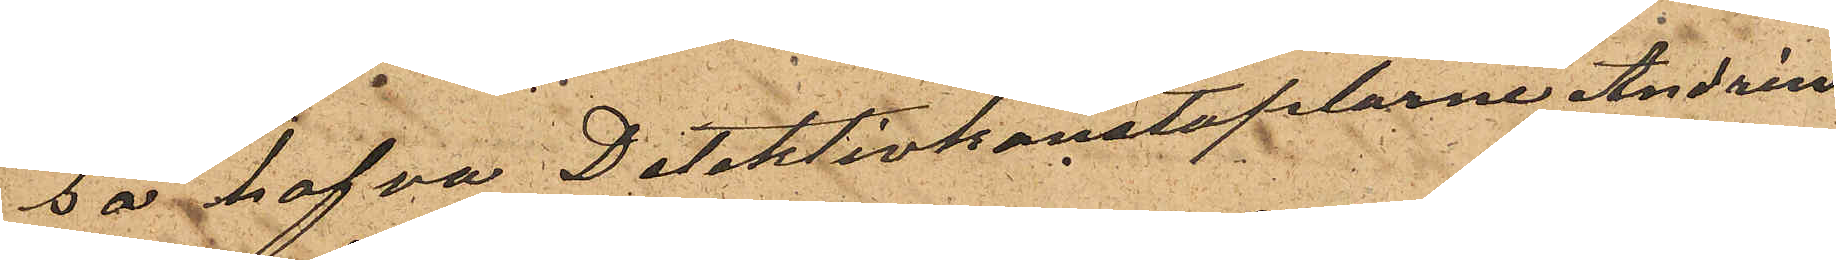så hafva Detektivkonstaplarne Andrén
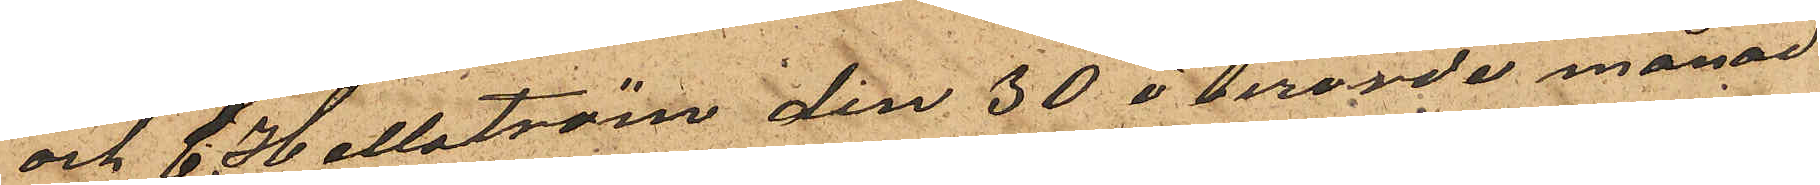och C. Hellström den 30 i berörde månad
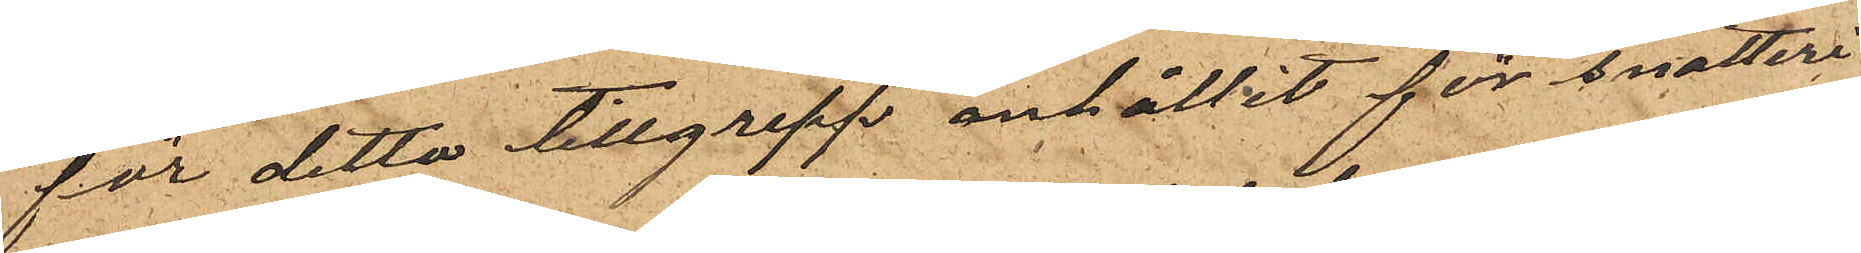för detta tillgrepp anhållit för snatteri
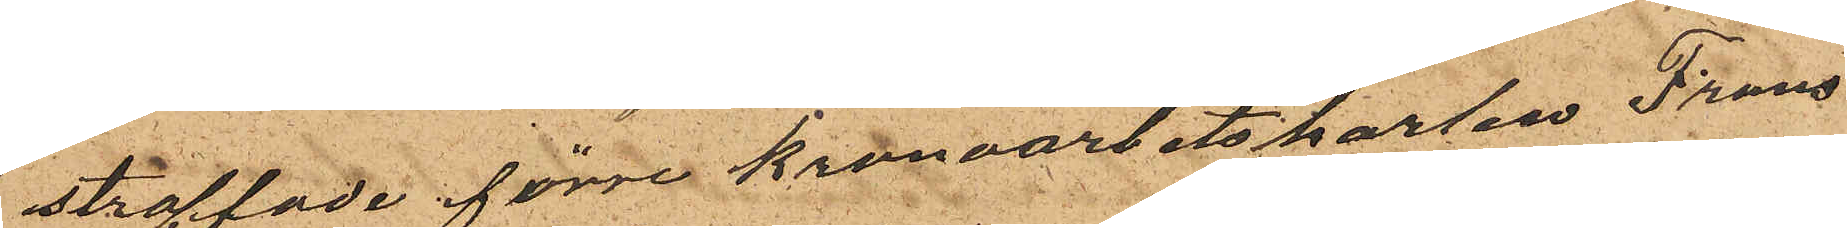straffade förre Kronoarbetskarlen Frans
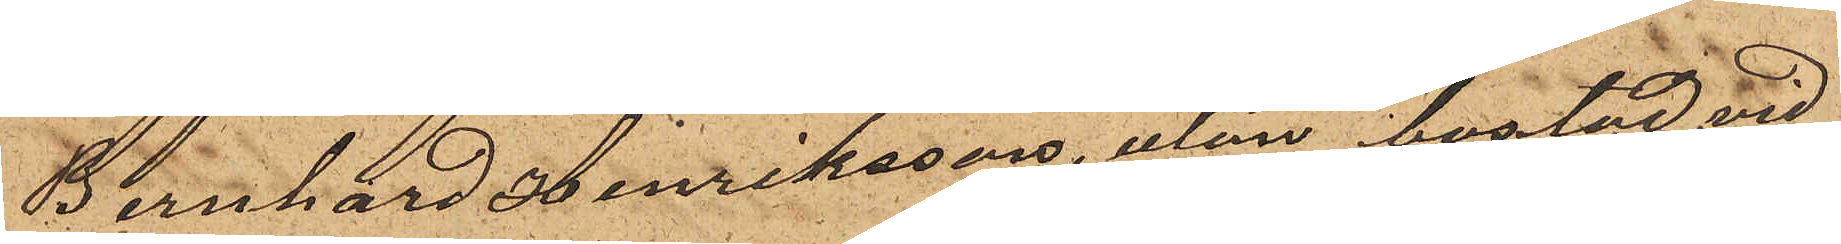Bernhard Henriksson, utan bostad vid
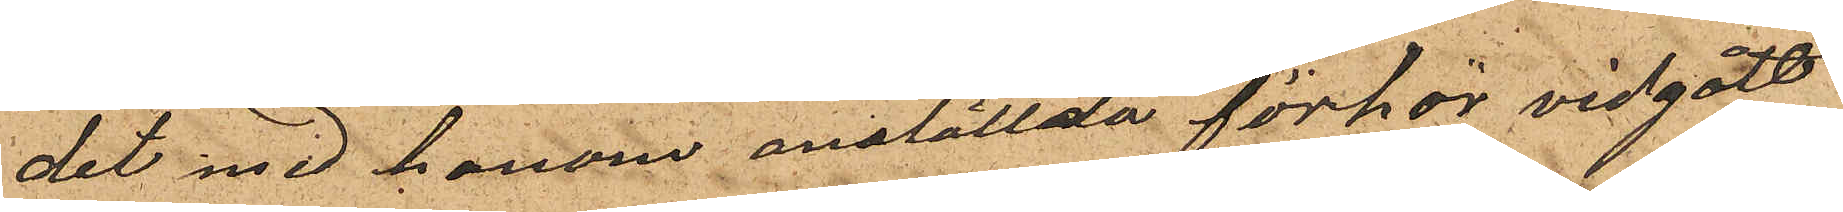det med honom anställda förhör vidgått
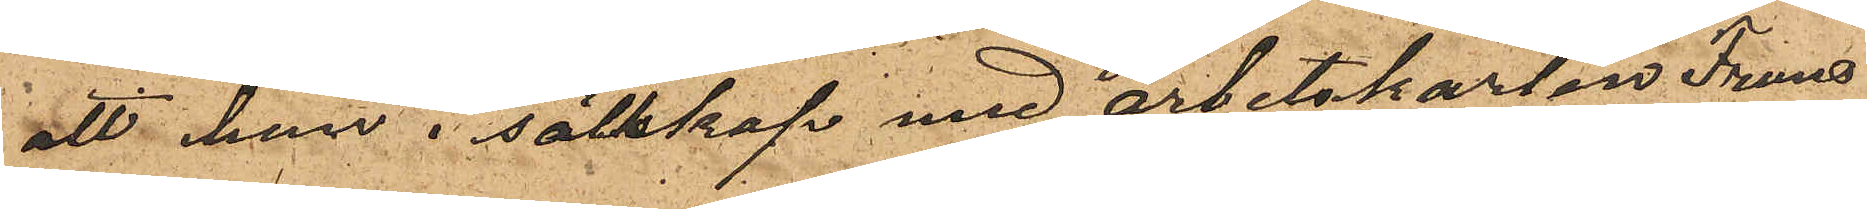att han i sällskap med arbetskarlen Frans
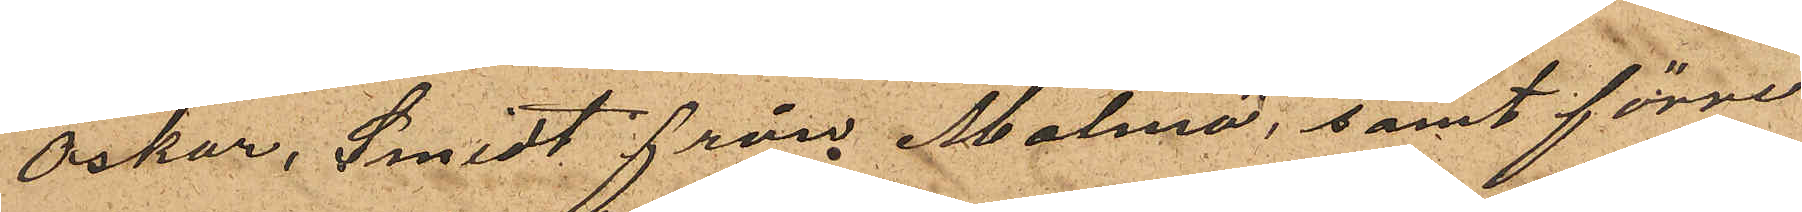Oskar, Smidt från Malmö, samt förre
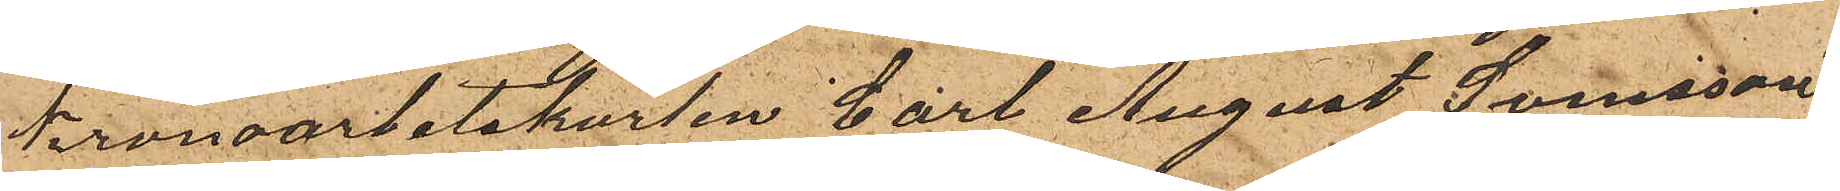Kronoarbetskarlen Carl August Svensson.
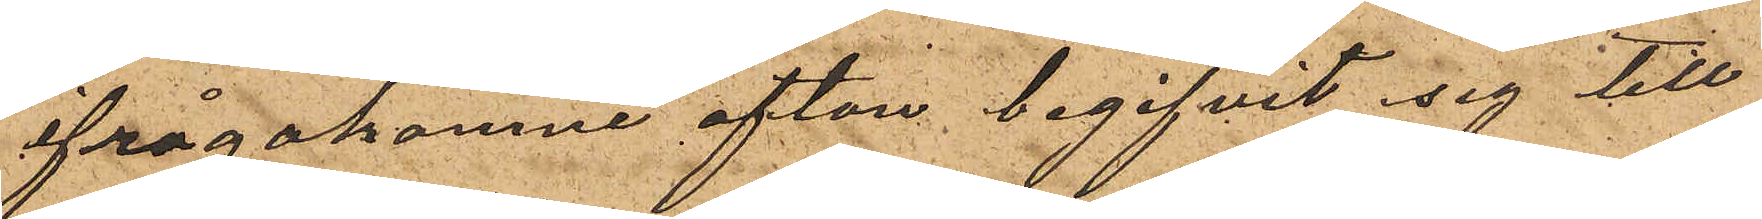ifrågakomne afton begifvit sig till
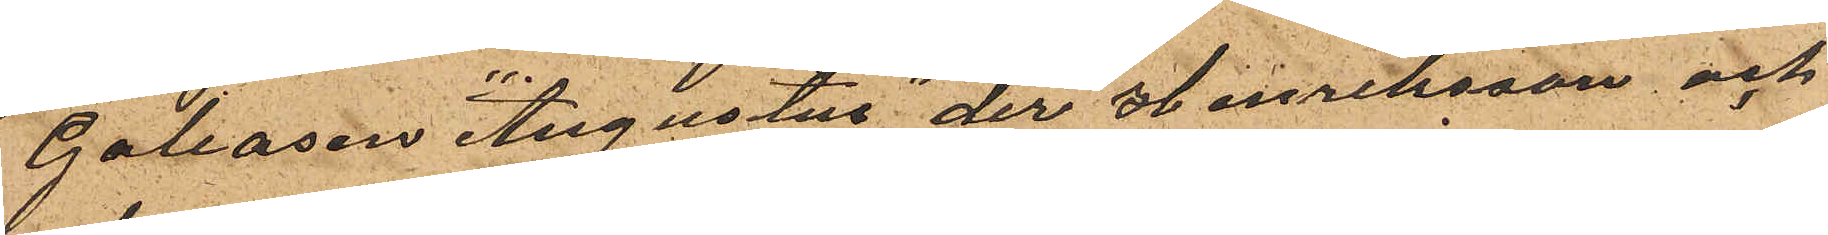Galeasen "Augustus" der Henriksson och
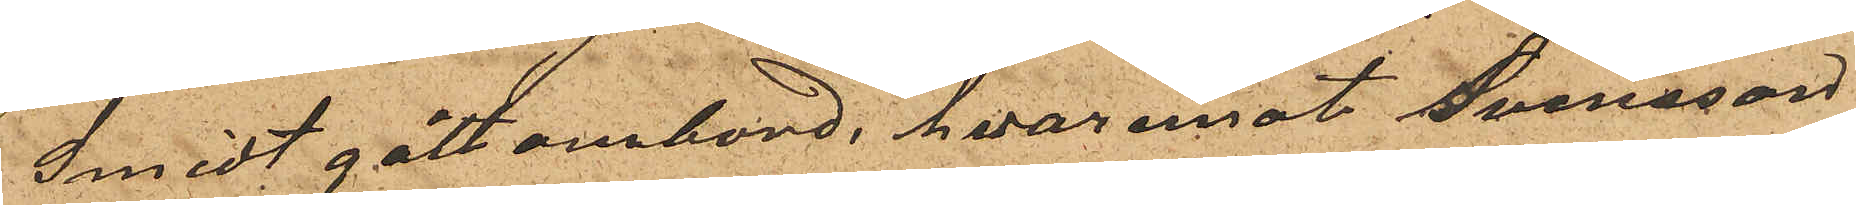Smidt gått ombord, hvaremot Svensson
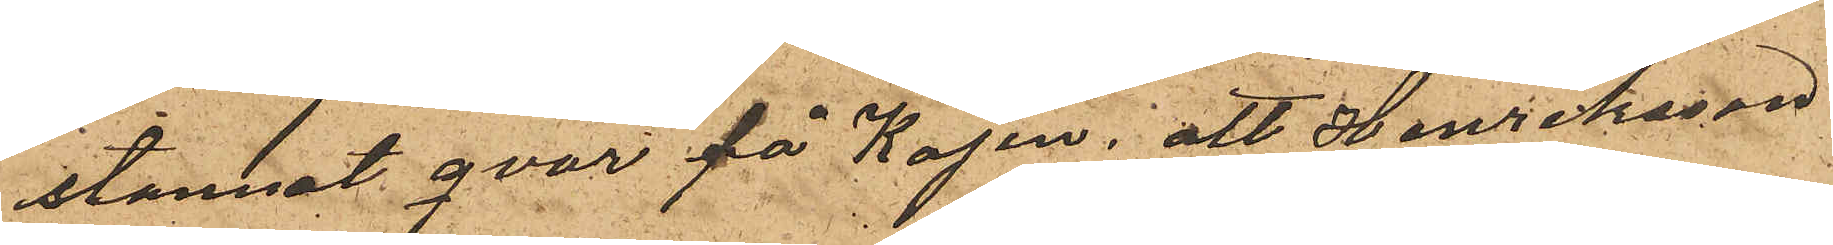stannat qvar på kajen, att Henriksson
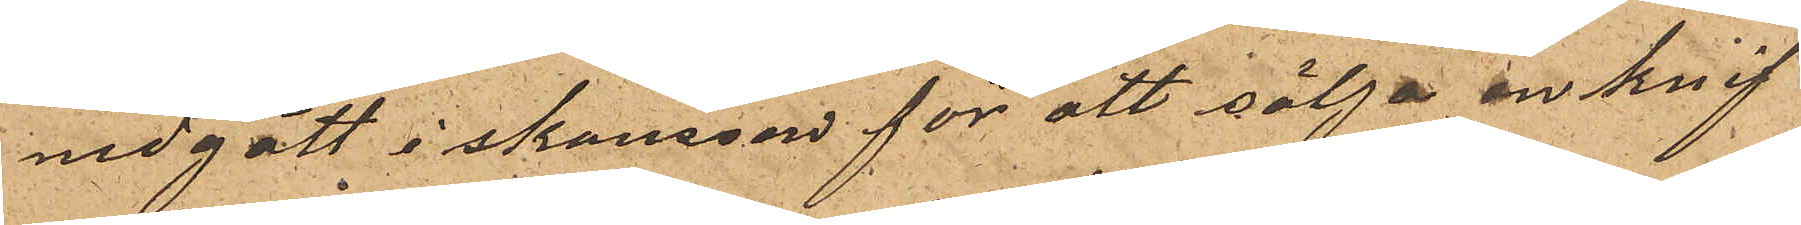nedgått i skansen för att sälja en knif
